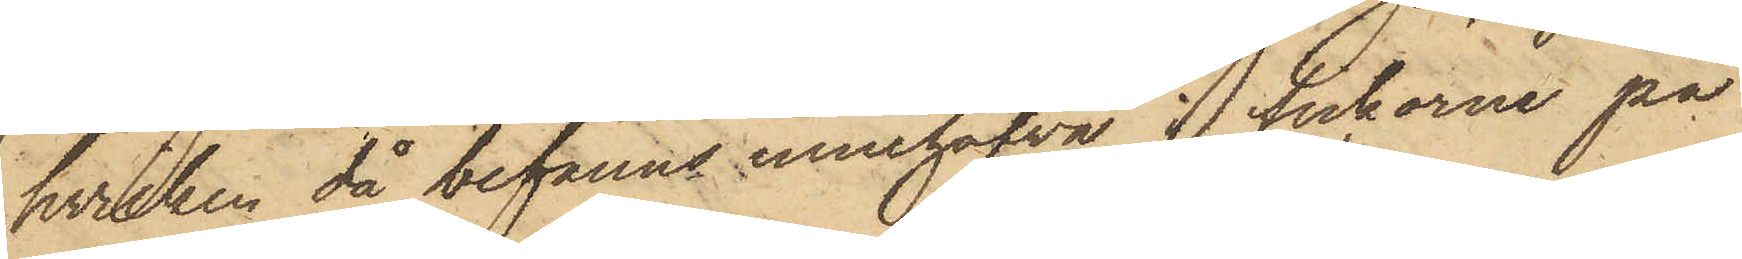hvilken då befanns innehafva i fickorne på
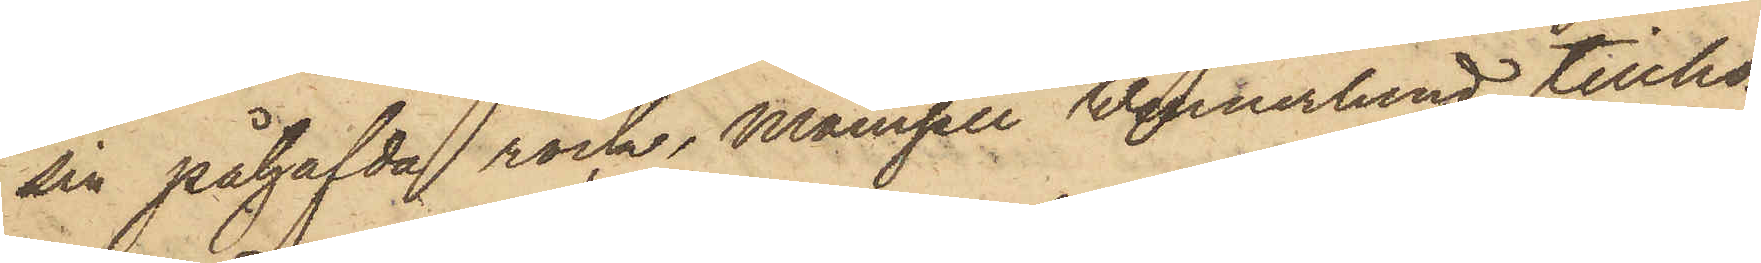sin påhafvda rock, Mamsell Wennerlund tillhö¬
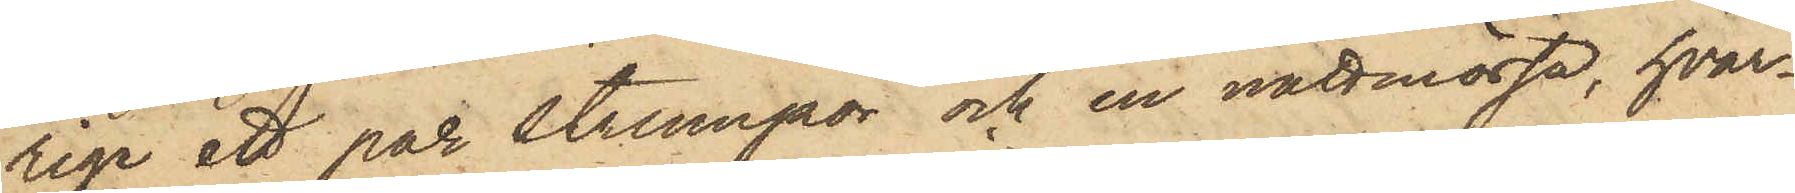rige ett par strumpor och en nattmössa, hvar¬
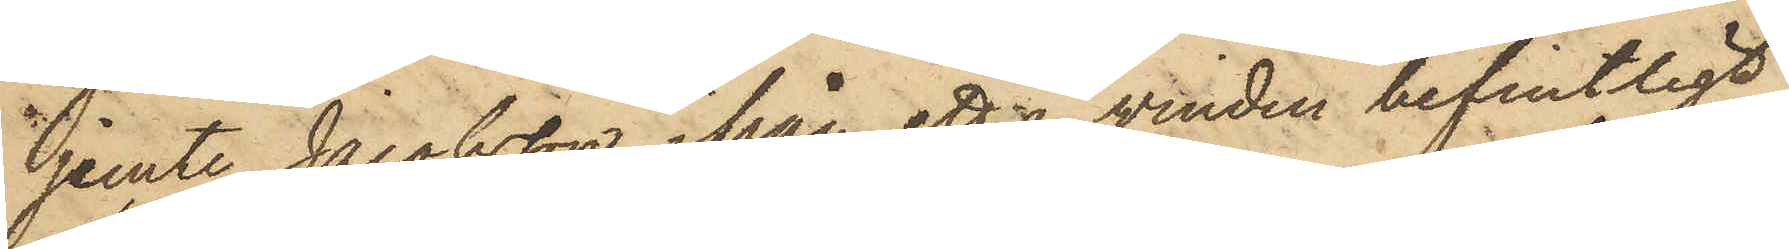jemte Jacobsson ifrån ett å vinden befintligt
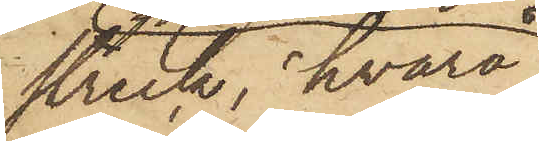streck, hvarå
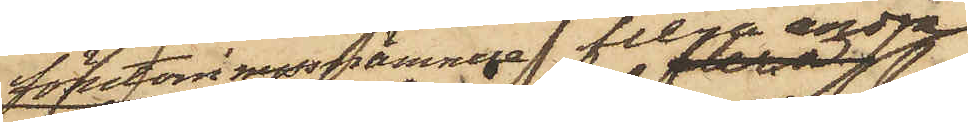förutom nyssnnämnda flera andra 
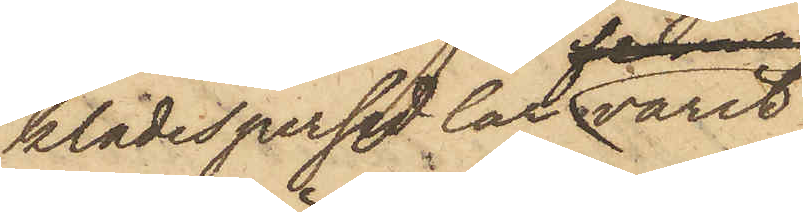klädespersedlar varit
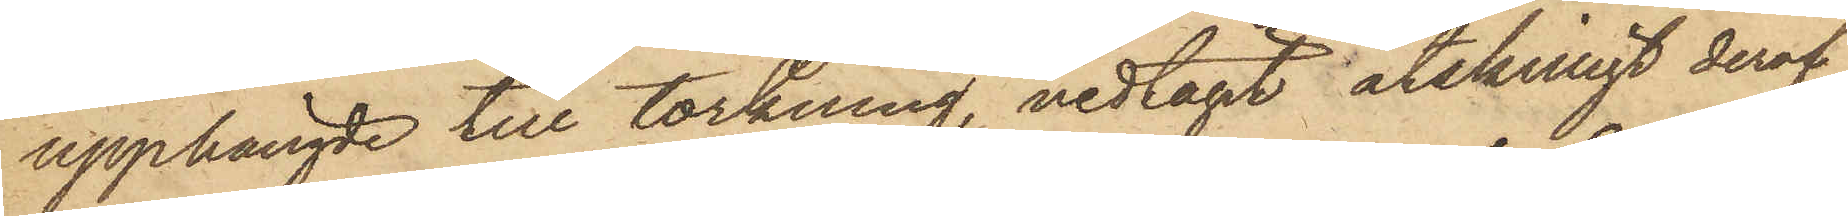upphängde till torkning, nedtagit åtskilligt deraf,
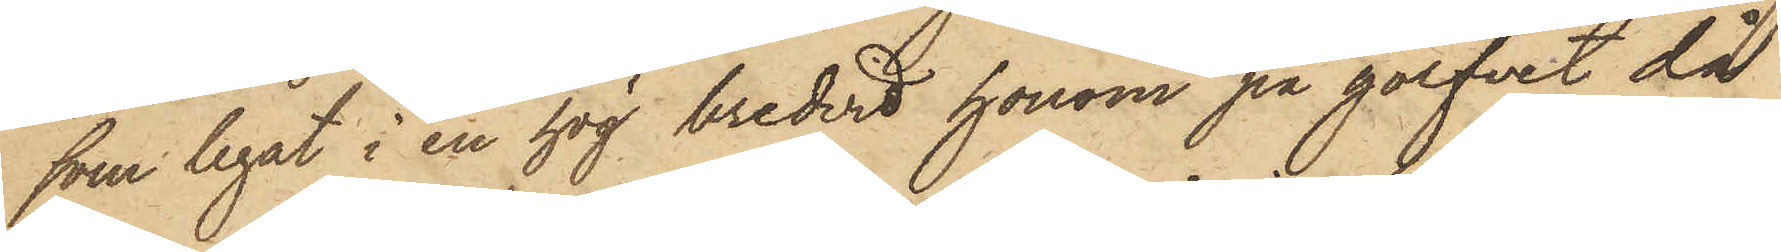som legat i en hög bredvid honom på golfvet då
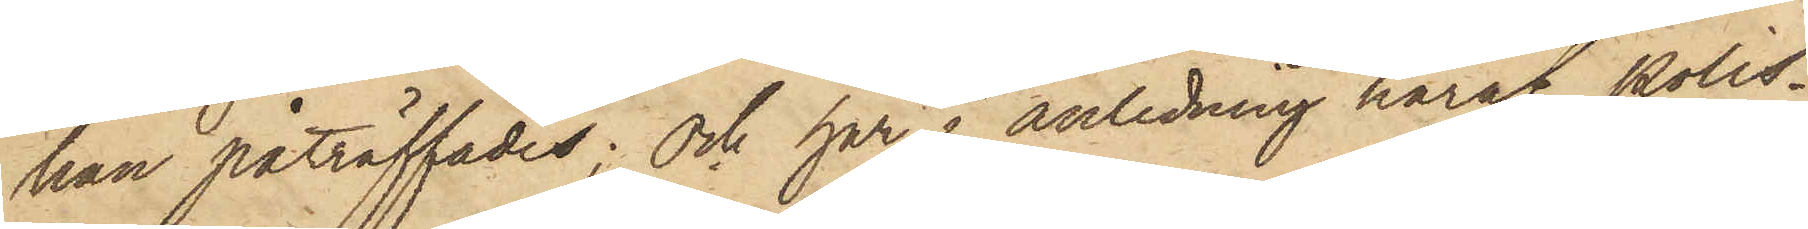han påträffades; och har i anledning häraf Polis¬
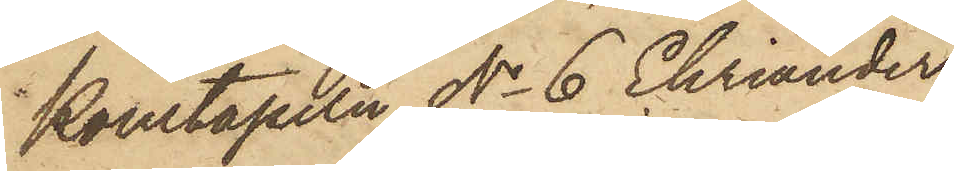Konstapeln No 6 Ehriander
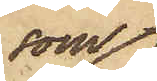som
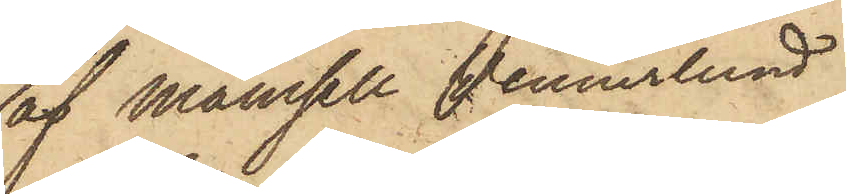af Mamsell Wennerlund
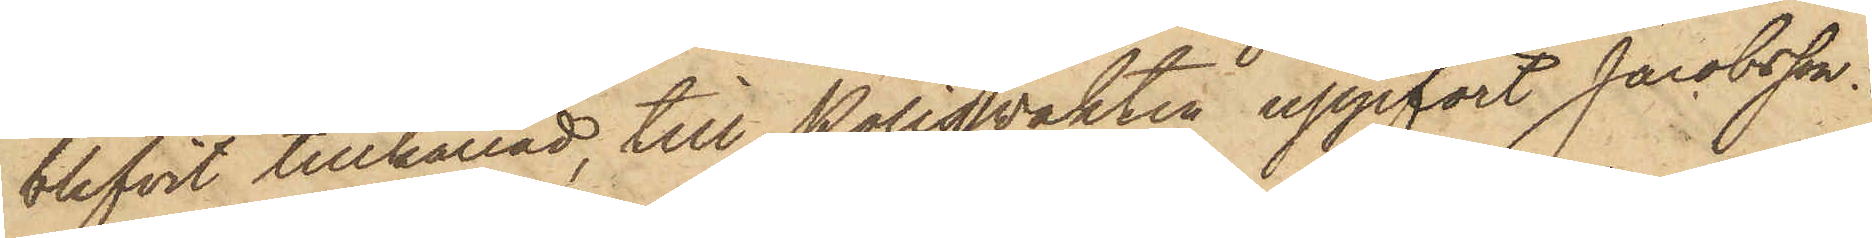blifvit tillkallad, till Polisvakten uppfört Jacobsson.
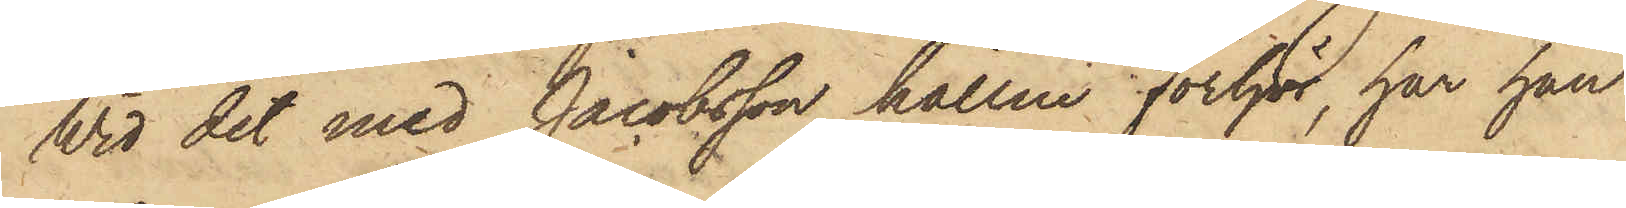Vid det med Jacobsson hållne förhör, har han
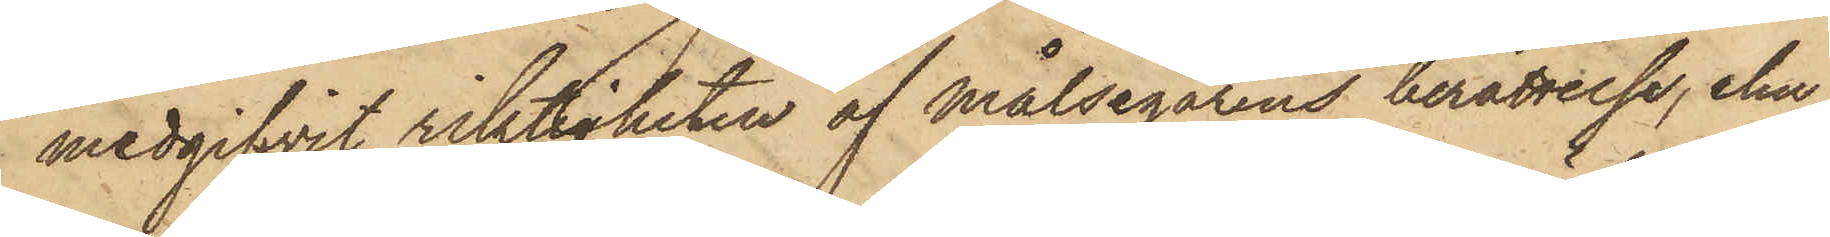medgifvit riktigheten af Målsegarens berättelse, ehu¬
